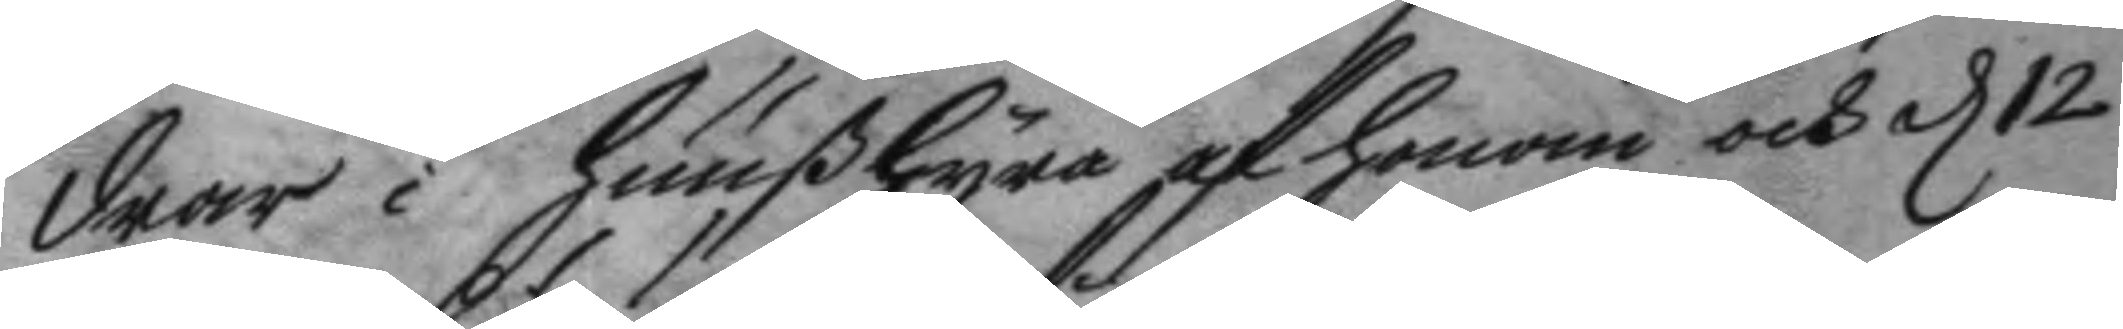drar i huußhyra af honom och d 12
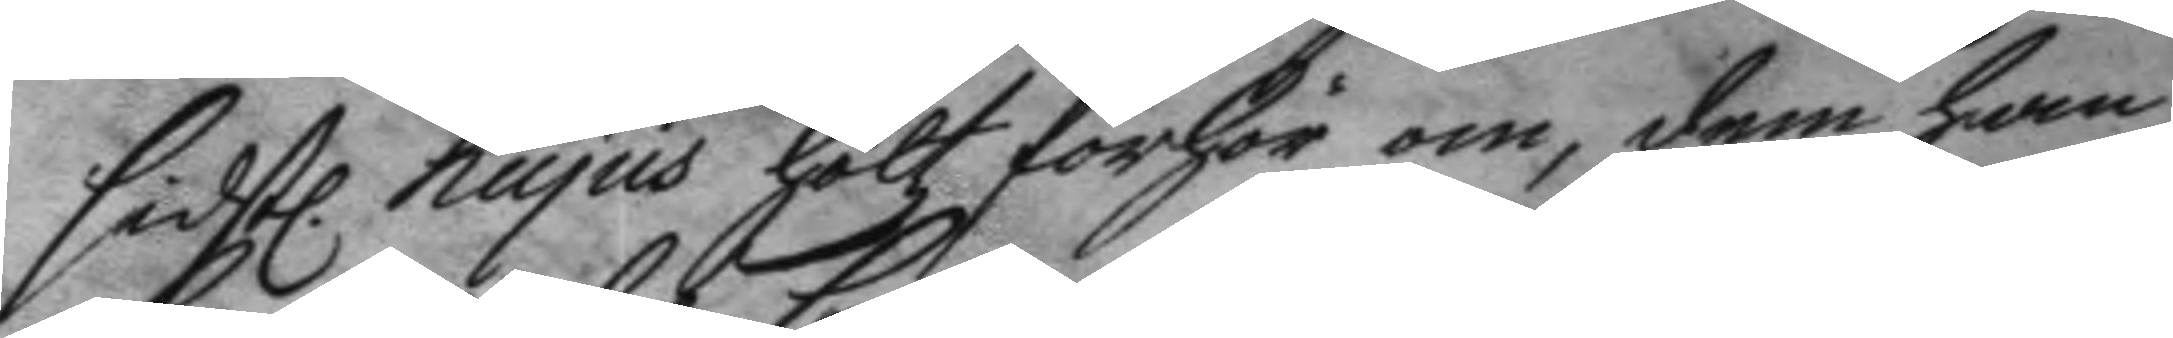sidst. hujus höltz förhör om, dem han
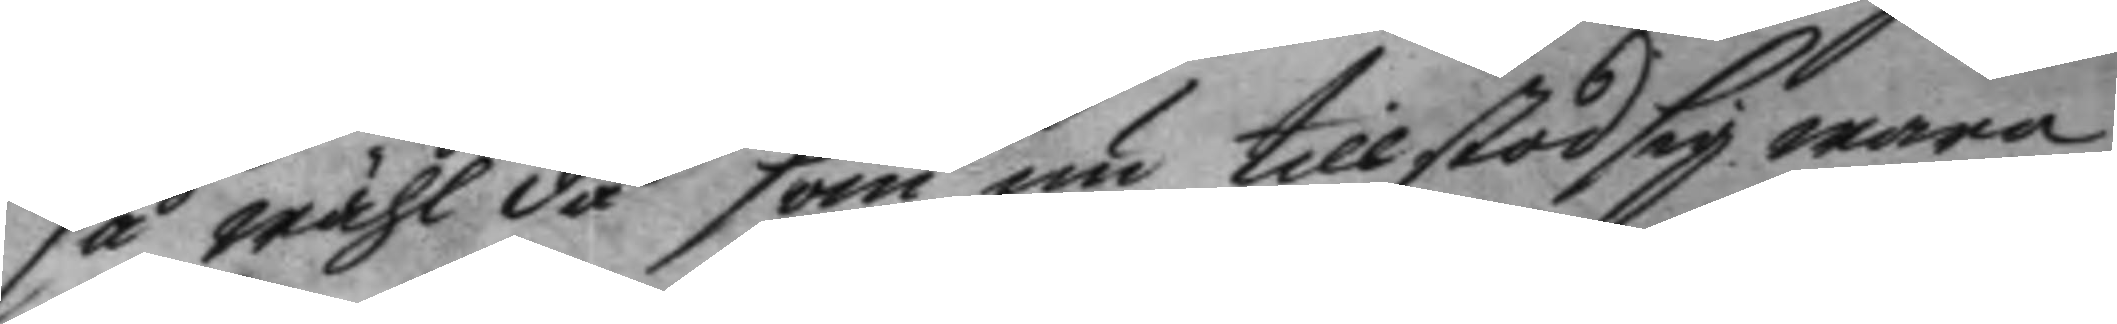så wähl då som nu tillstod sig wara
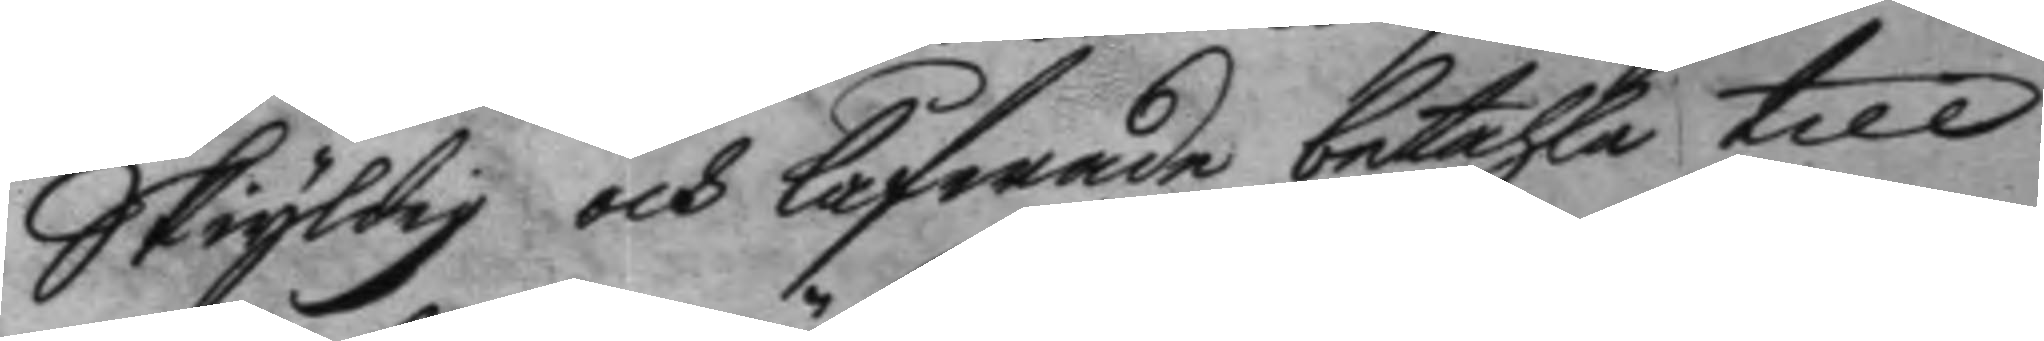Skyldig och lofwade betahla till
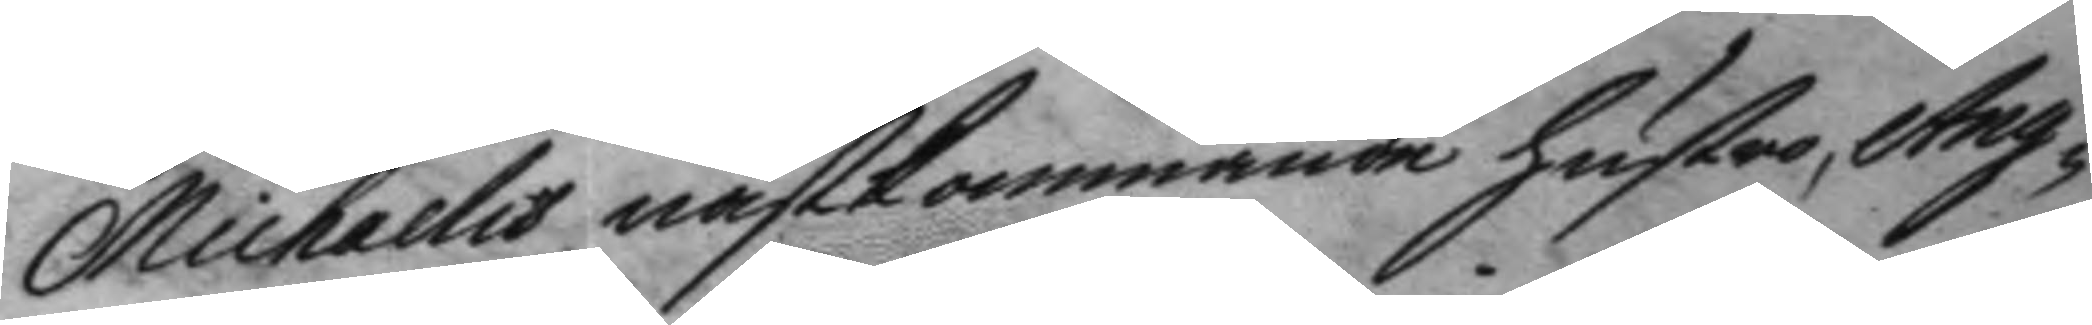Michaelis nästkommande hustro Ang¬
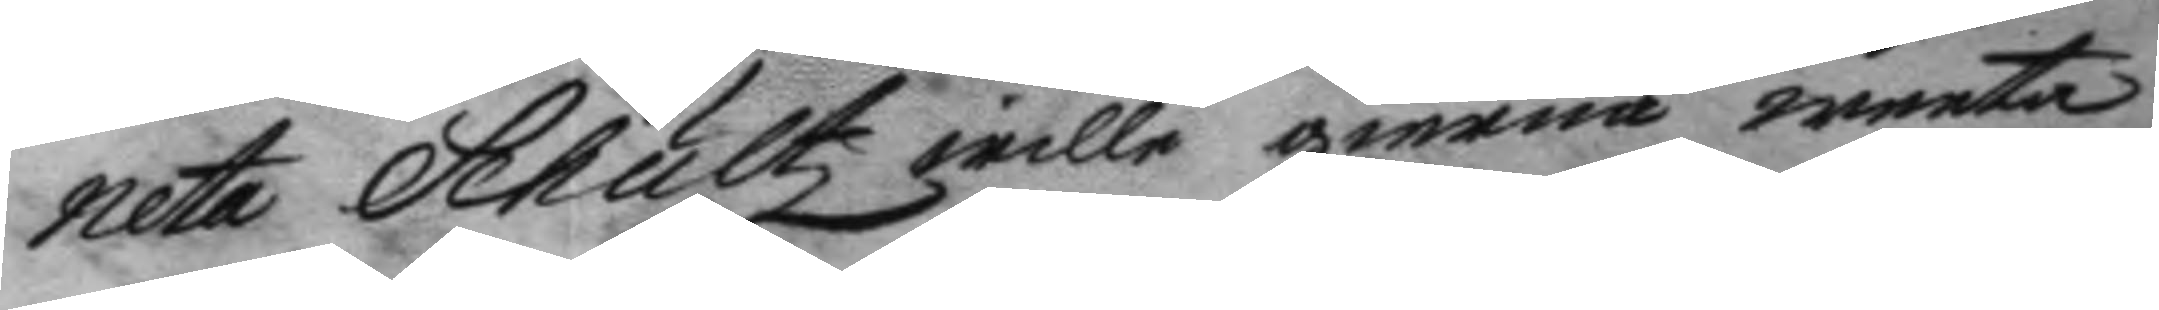neta Schultz wille gierna weeta
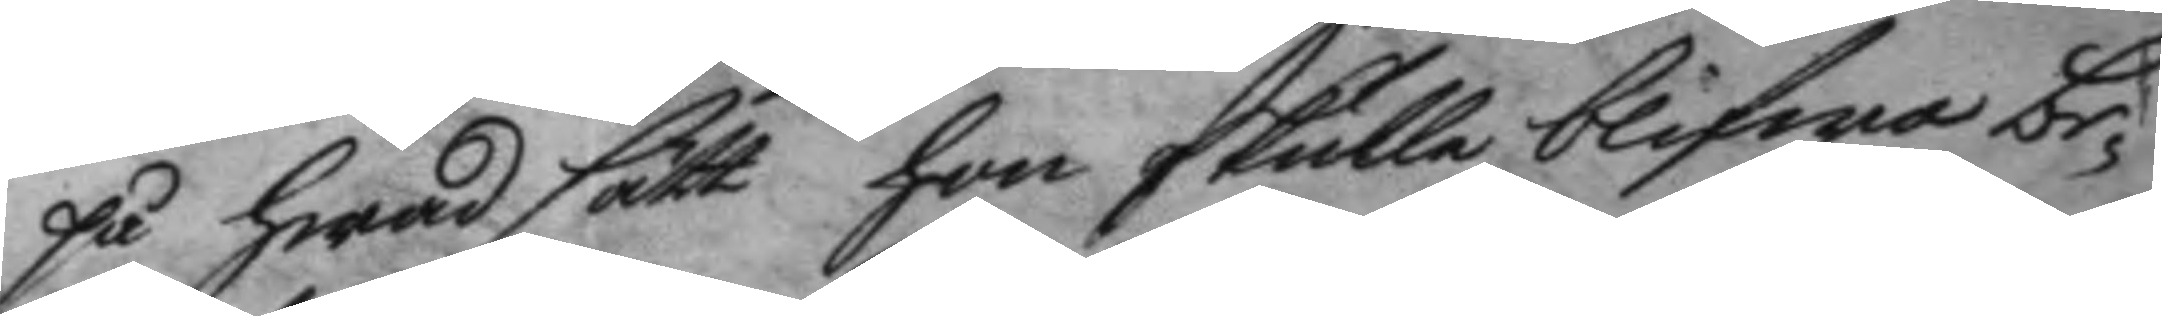på hwad sätt hon skulle blifwa be¬
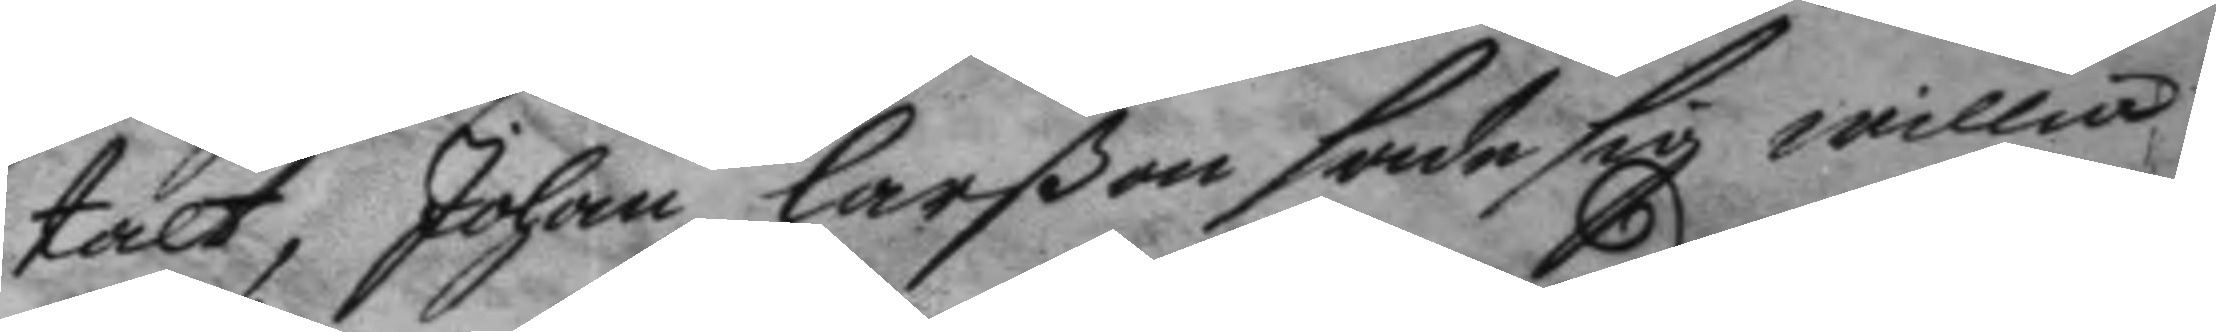talt, Johan larßon sade sig willia
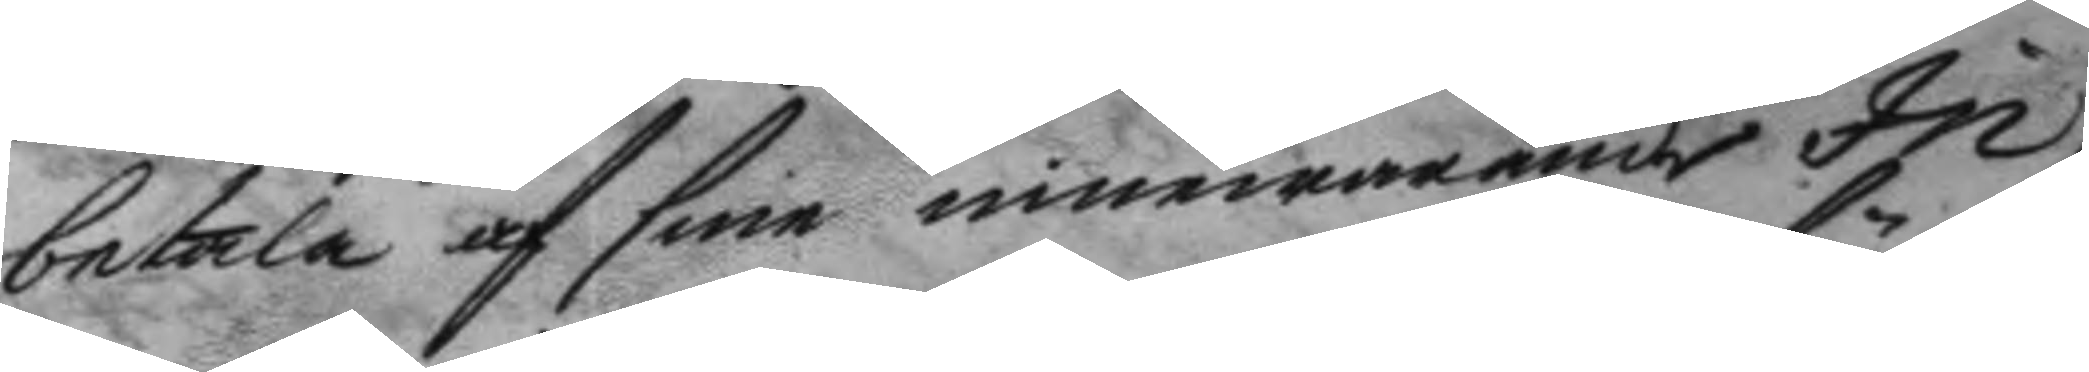betala af sine innewarande In¬
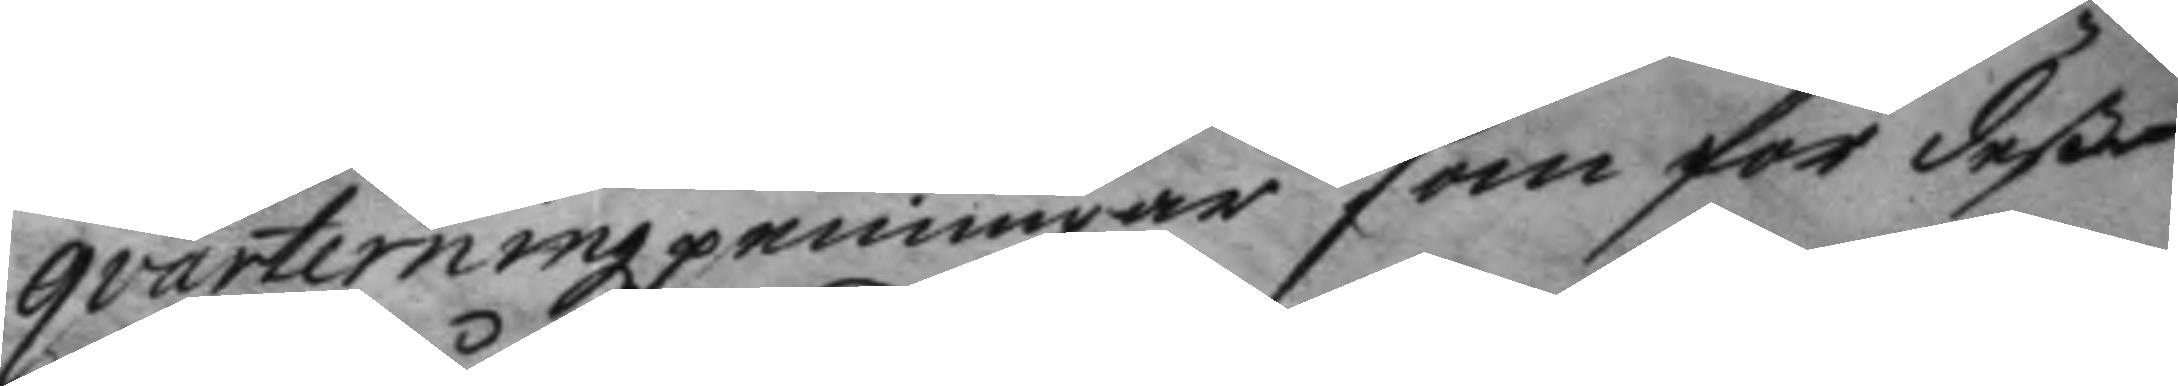qvarteringzpenninar som för deße
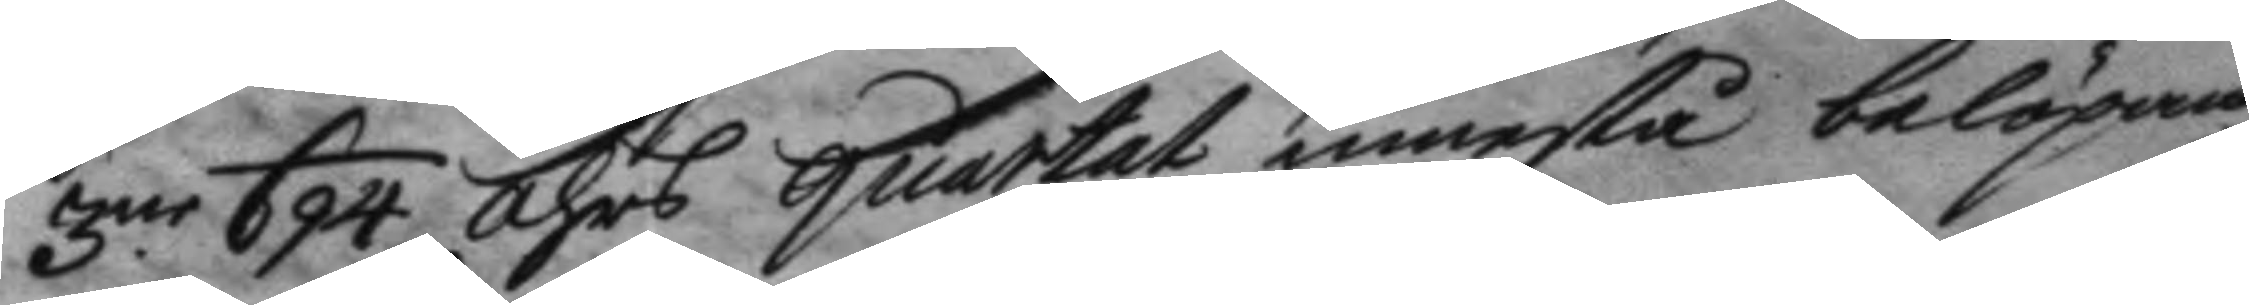3.ne 694 åhrs quartat innestå belöpan¬
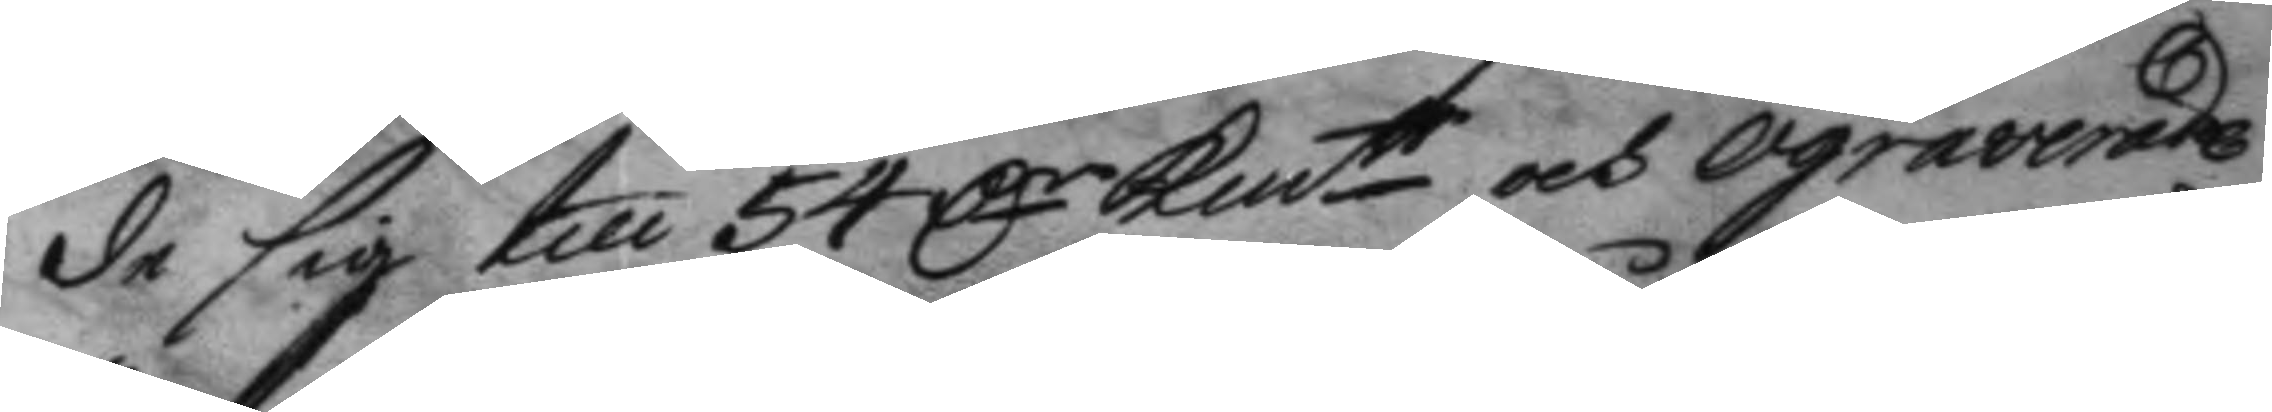de sig till 54 Dr Kmtt och ograverade
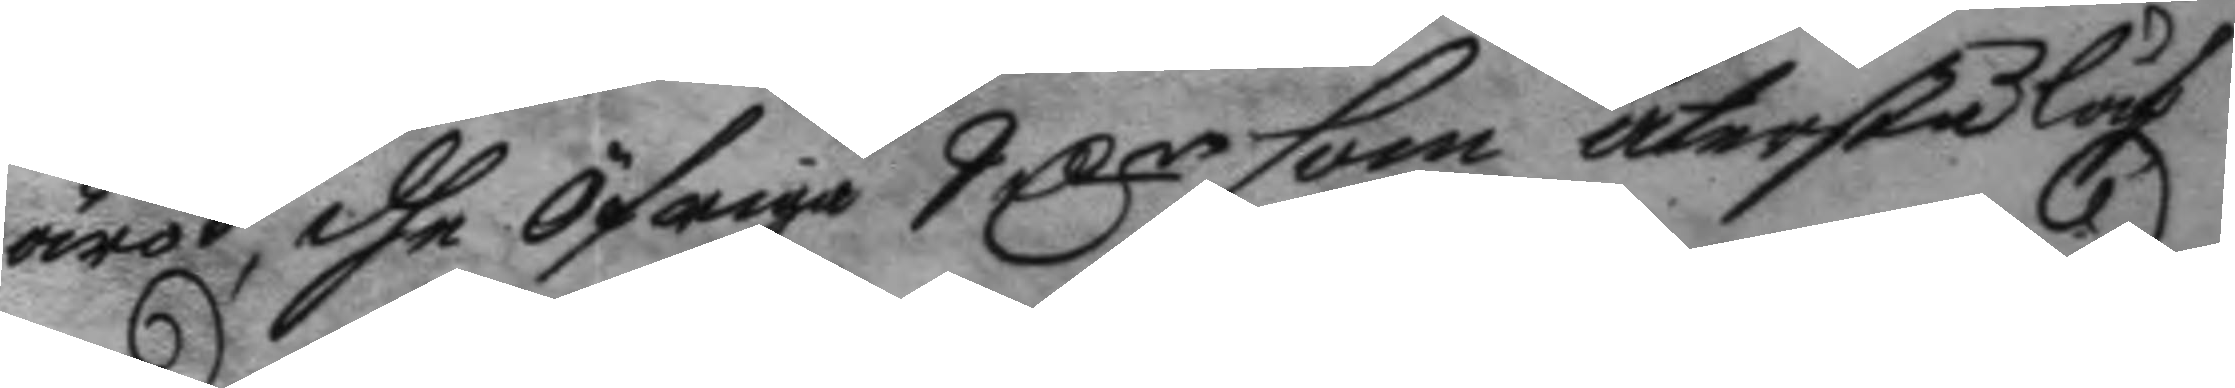äro, dhe öfriga 9 Dr som återså låf¬
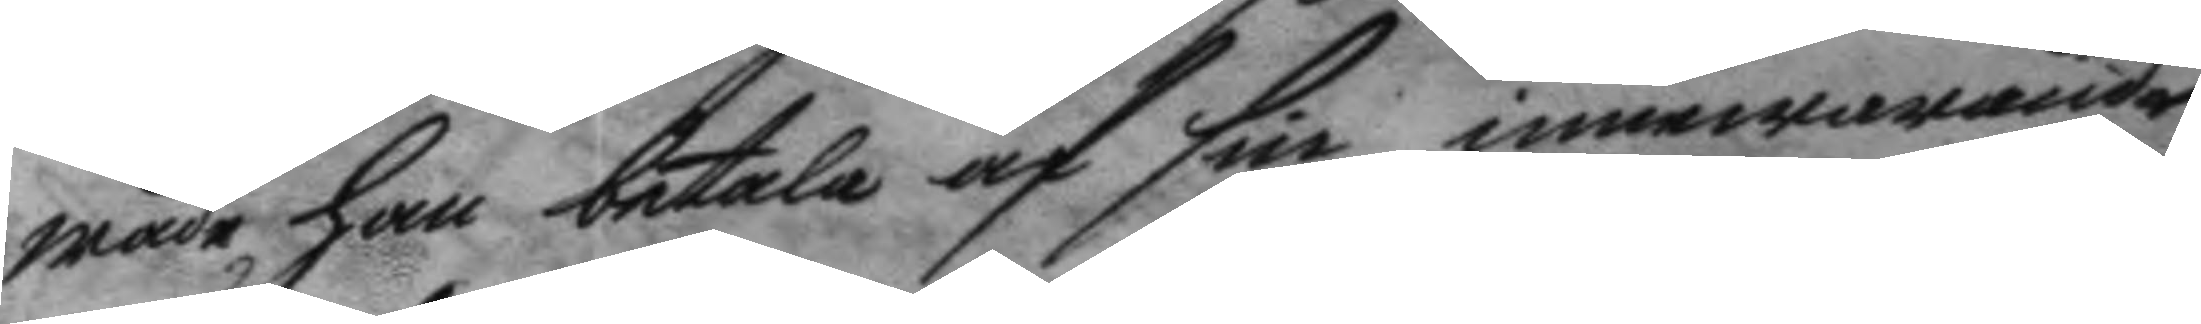wade han betala af sin innewarande
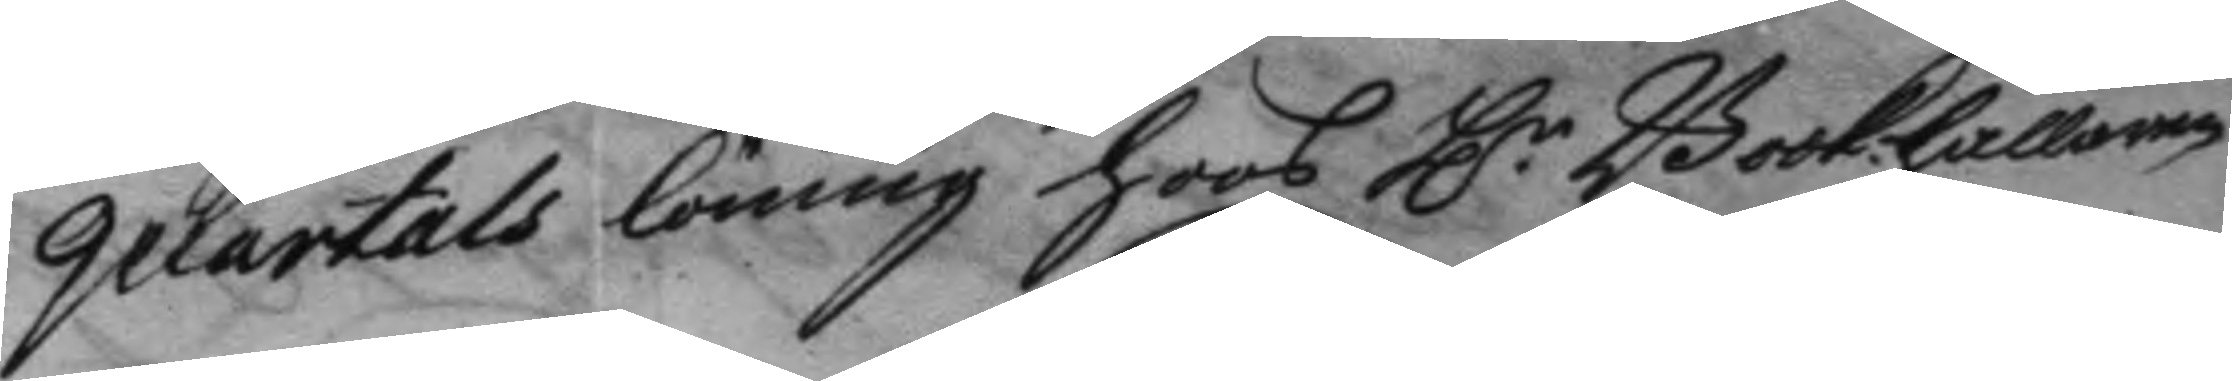quartals löning hoos H.r Bookhållaren
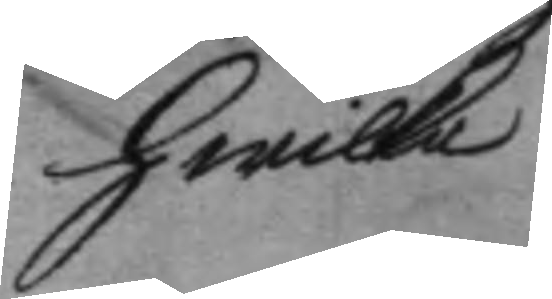hwilka
